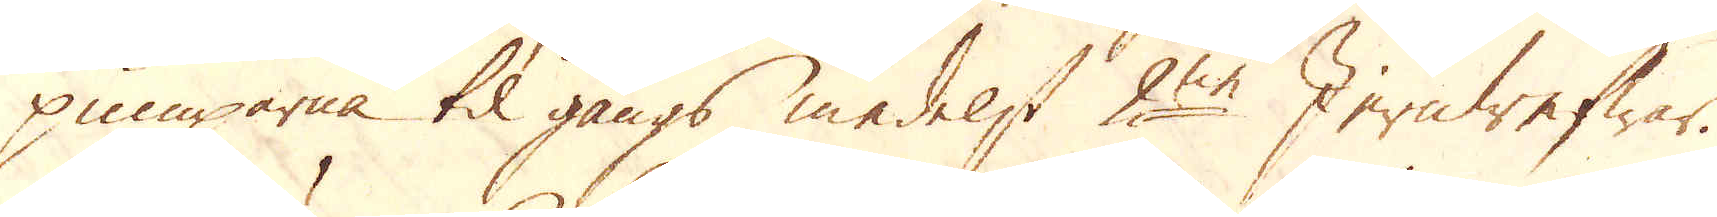pumparna til gångs medelst 2ne Jernwefwar.
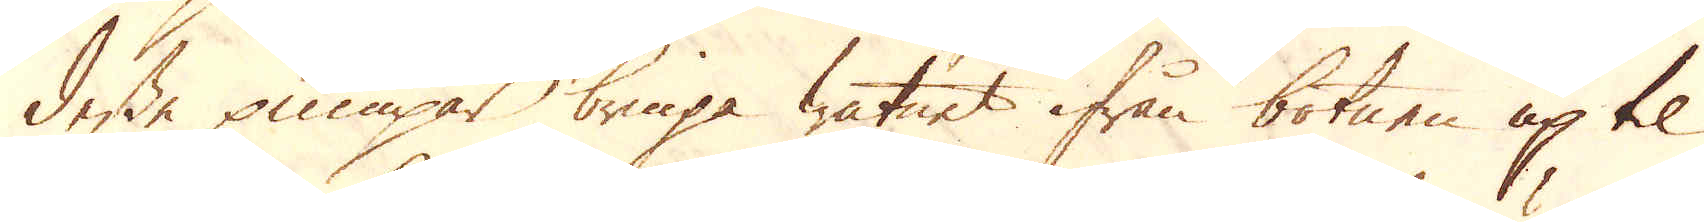Desse pumpar bringa watnet ifrån botnen up til
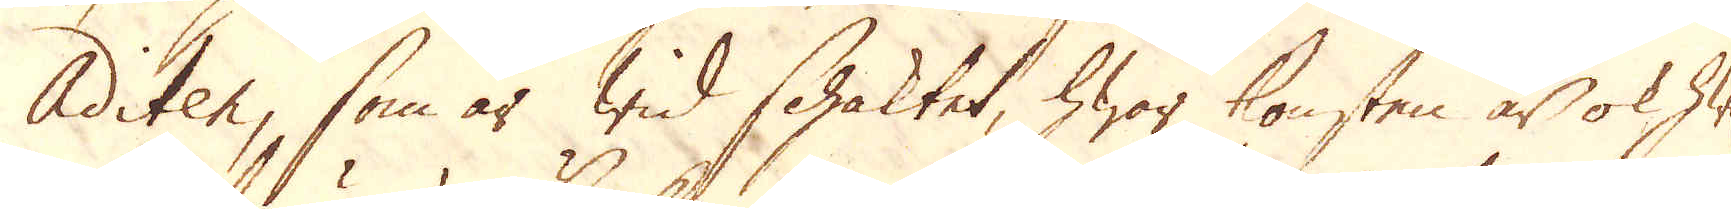Aditen, som är wid schaktet, hwar konsten är ok hwil-
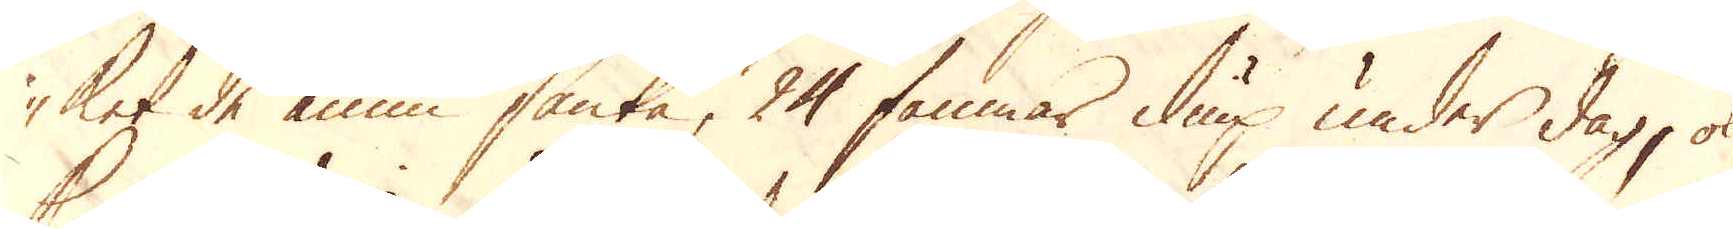ket de ännu sänka, 24 famnar diup under dag, ok
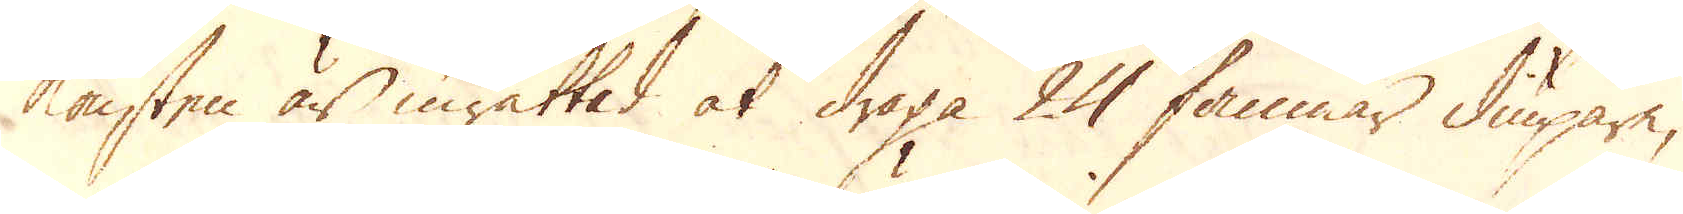konsten är inrättad at draga 24 famnar diupare,
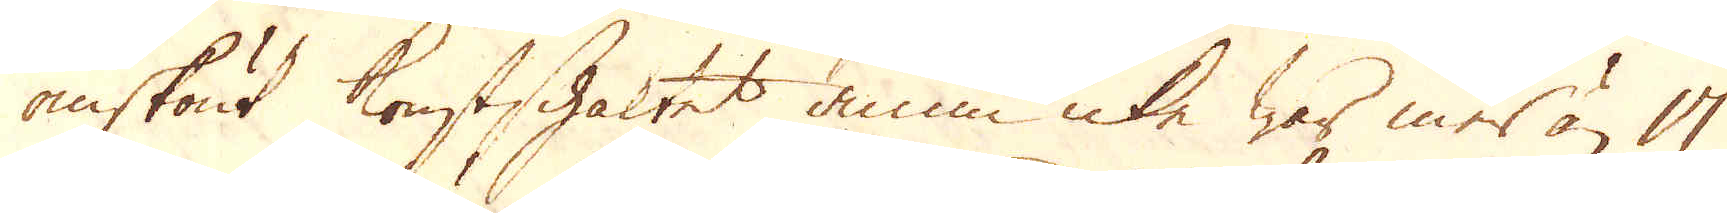omskönt konstschaktet ännu icke war mer än 17
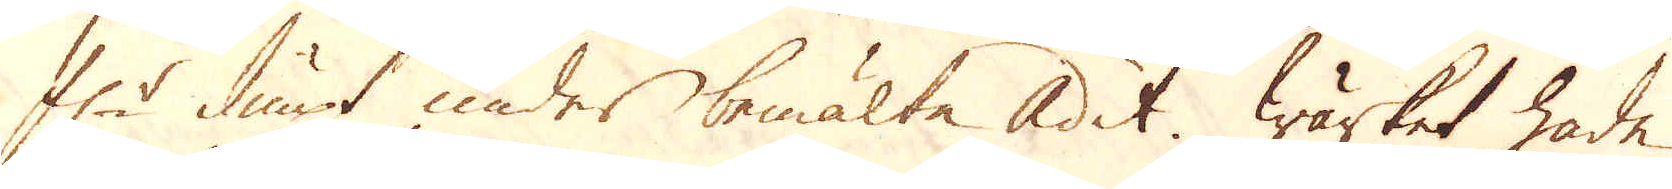f:r diupt under bemälta Adit. Wärket hade
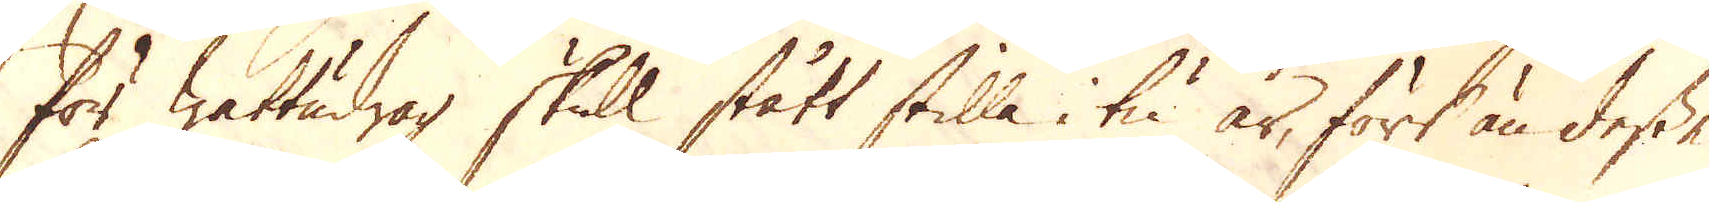för wattudrag skull stått stilla i tu år, förr än desse
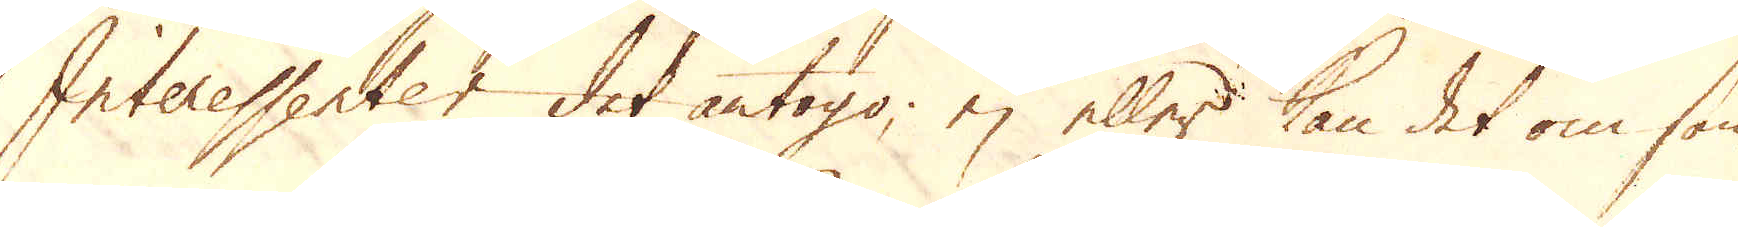Interessenter det antogo, ej eller kan det om som-
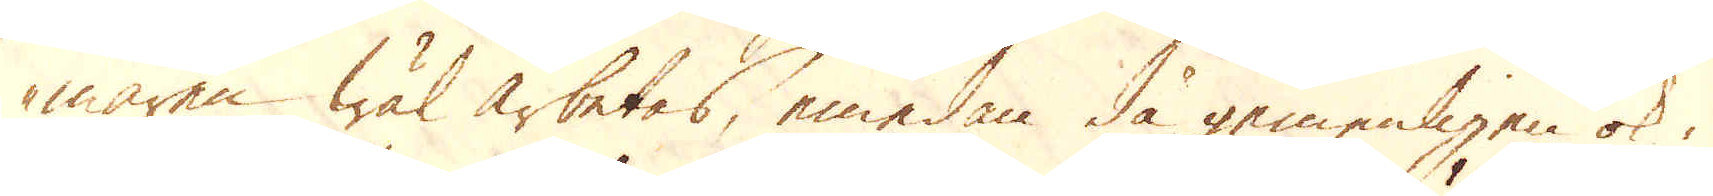maren wäl arbetas, emedan då gemenligen ok i
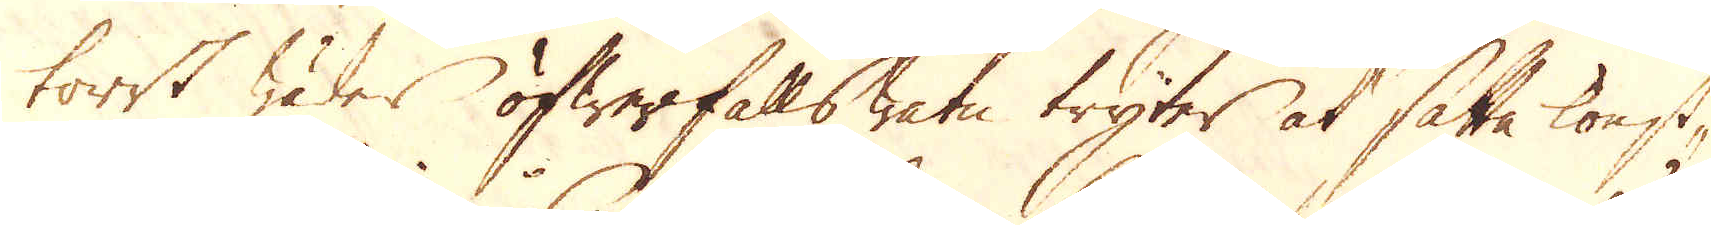torrt wäder öfwerfallswatn tryter at sätta konst-
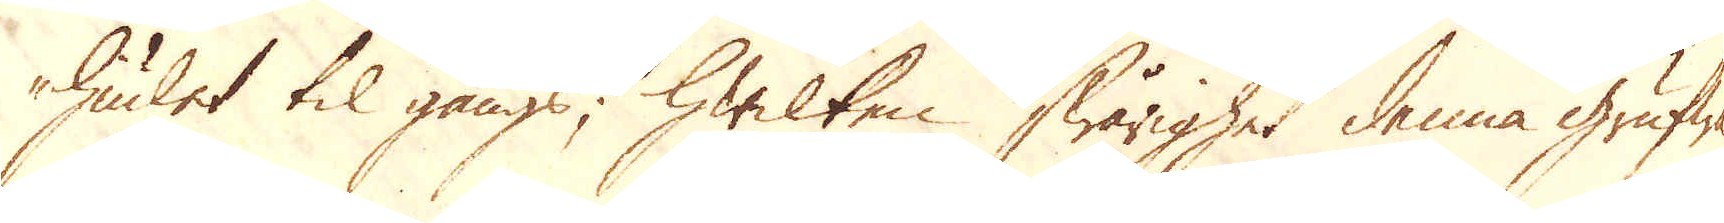hiulet til gångs, hwilken swårighet denna grufwa
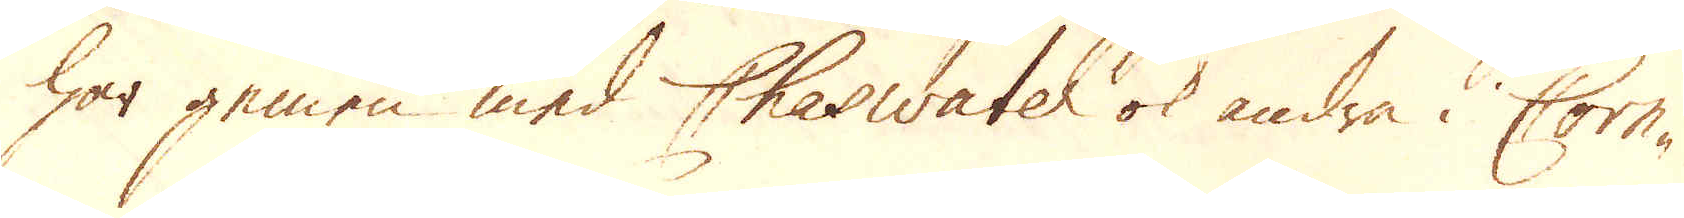har gemen med Cheswater ok andra i Corn-
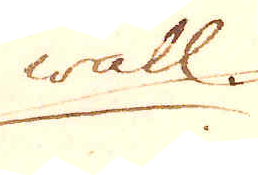wall.
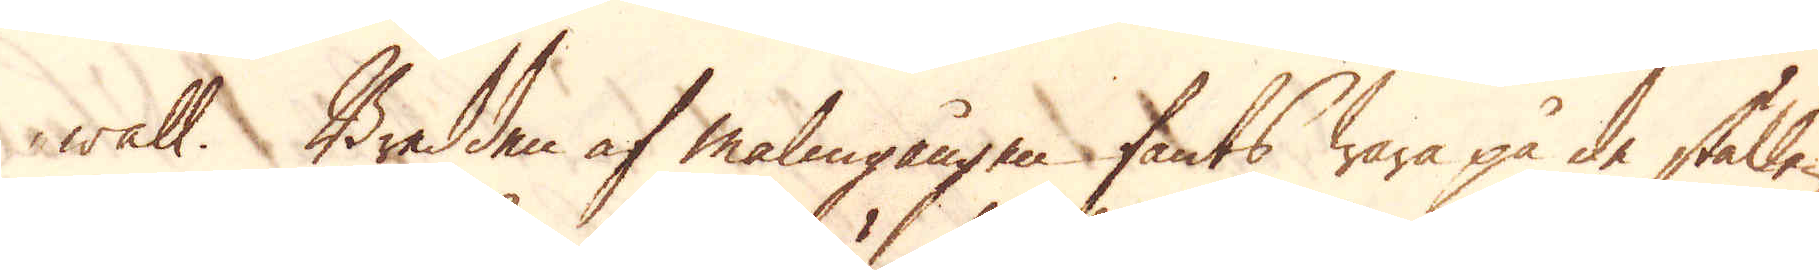wall. Bredden af malmgången fants wara på de ställen
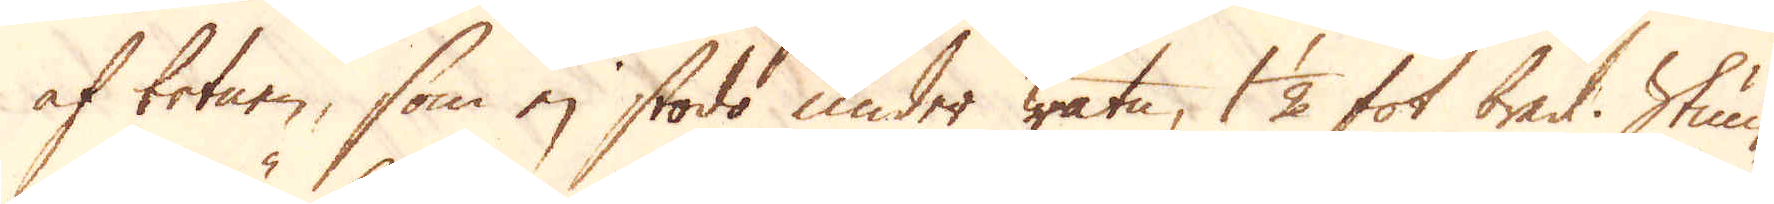af botnen, som ej stodo under watn, 1 1/2 fot bred. Stun-
